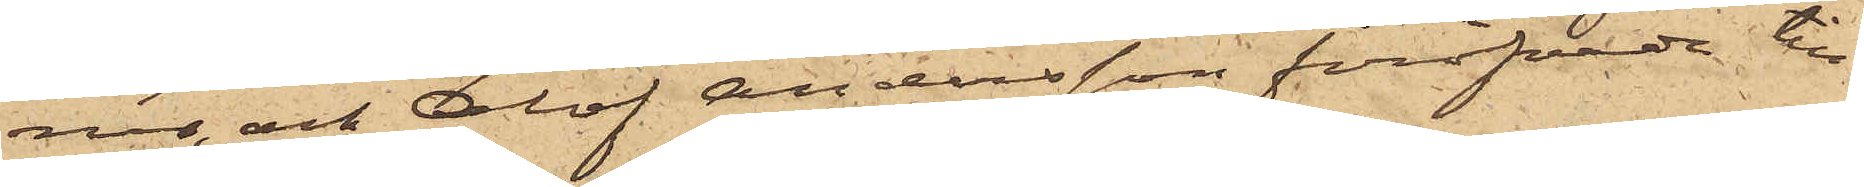ner och Olof Andersson föröfvade till¬
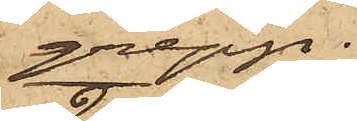grepp.
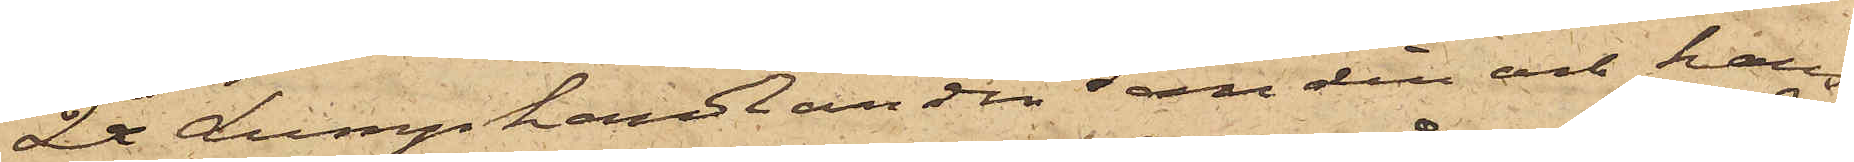2o Lumphandlanden Sandin och hans
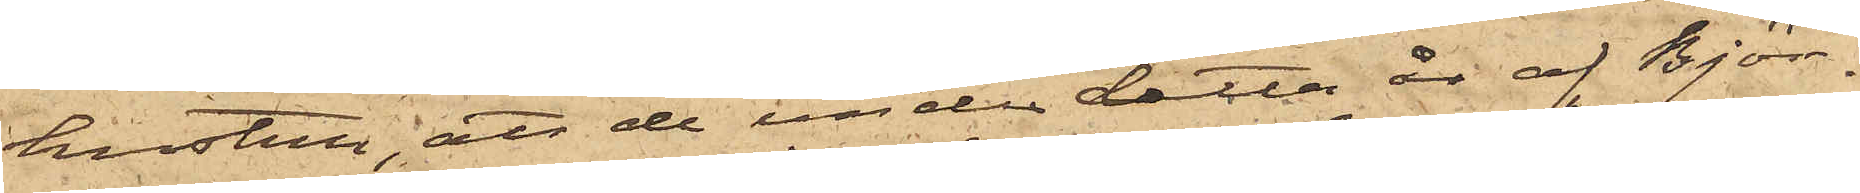hustru; att de under detta år af Björ¬
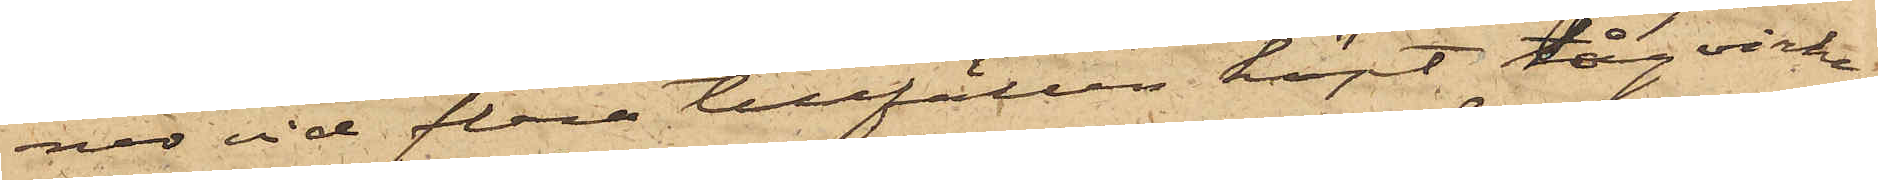ner vid flera tillfällen köpt tågvirke
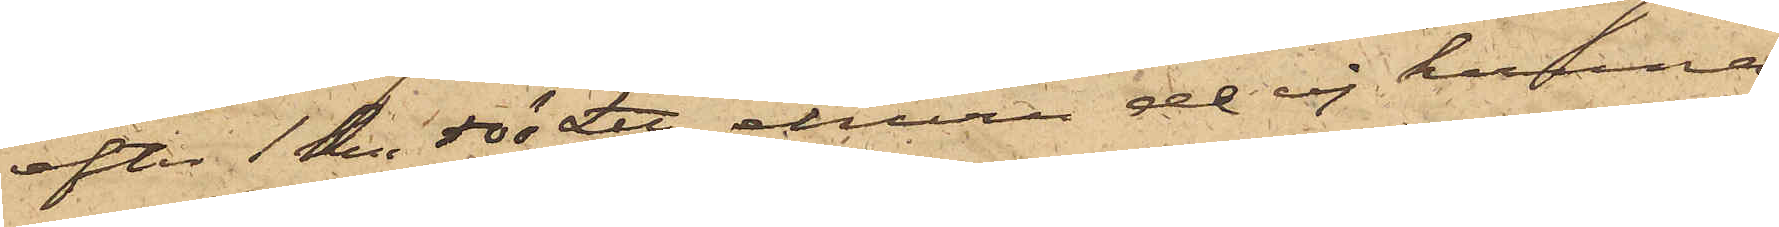efter 1 kr 50 ö L℔, ehuru de ej kunna
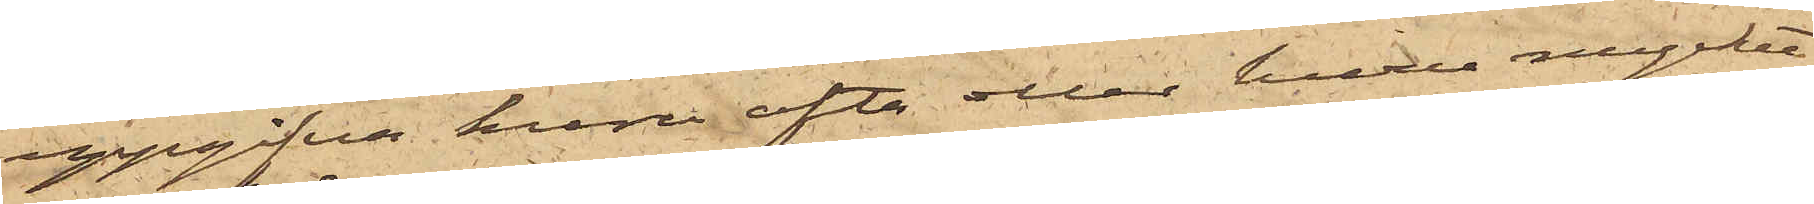uppgifva huru ofta eller huru mycket
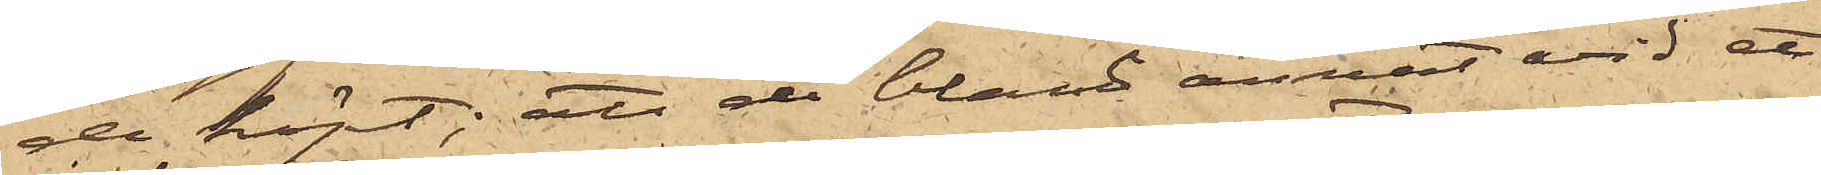de köpt; att de bland annat vid ett
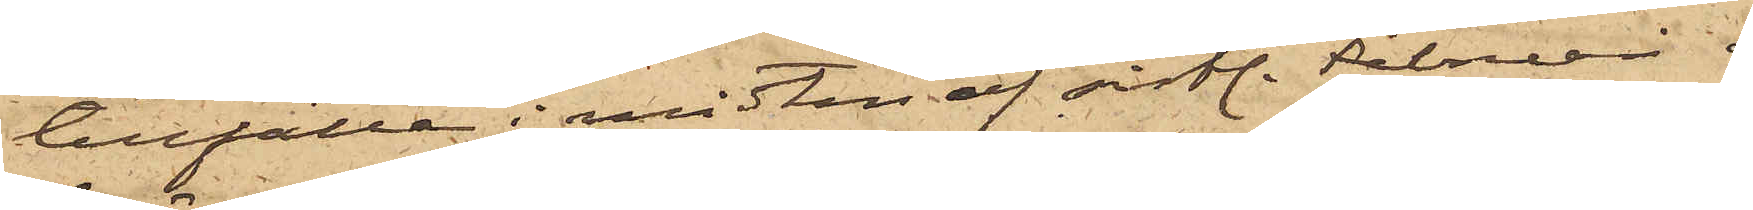tillfälle i midten af sistl. Februari af
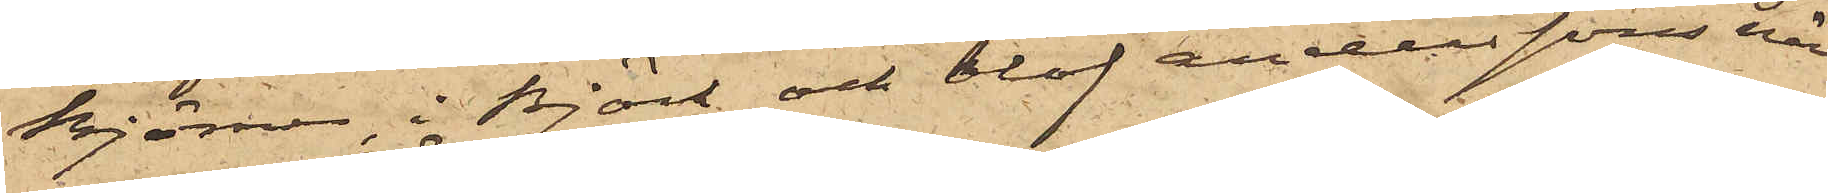Björner, i Björk och Olof Anderssons när¬
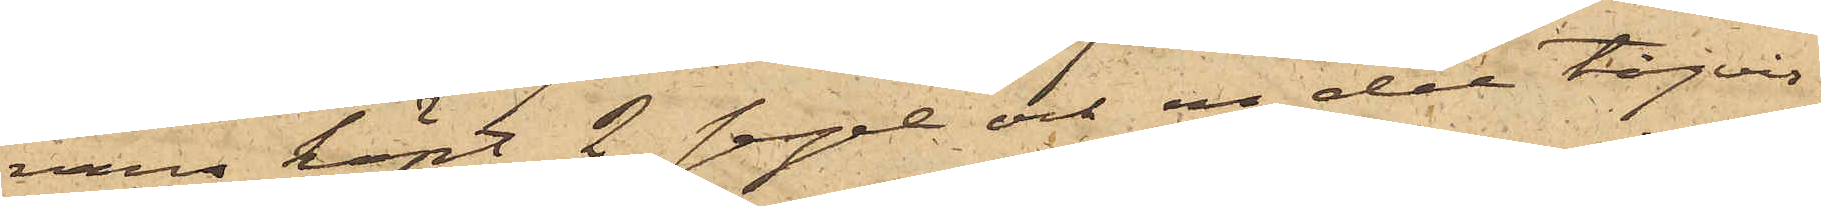varo köpt 2 segel och en del tågvir¬
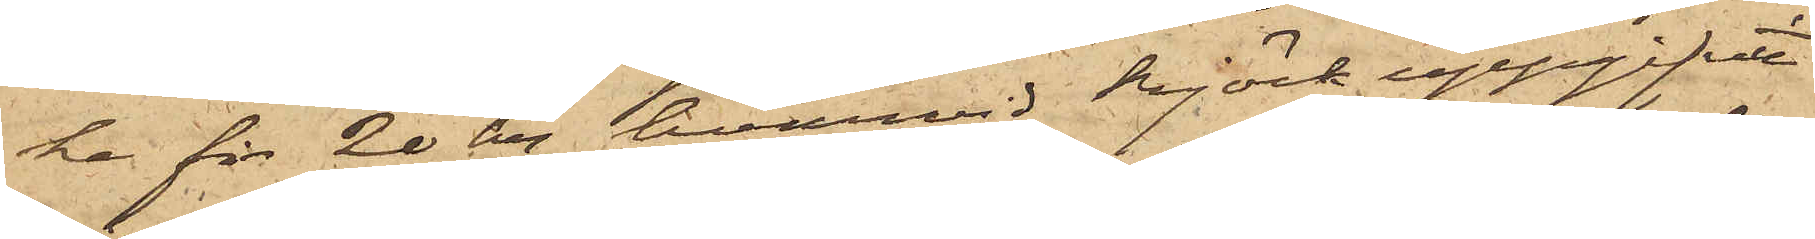ke för 20 kr, hvarvid Björk uppgifvit
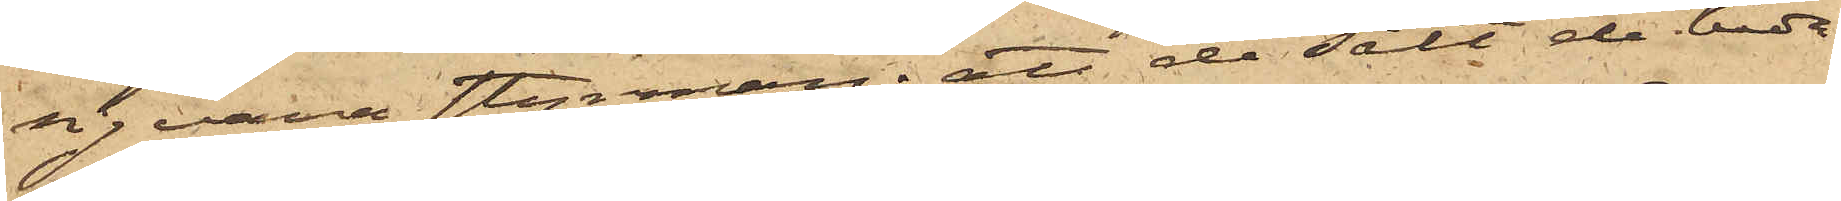sig vara styrman; att de sålt de båda
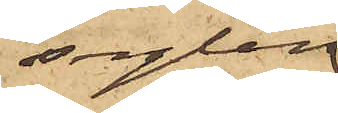seglen
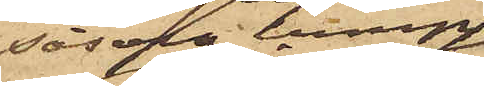såsom lump
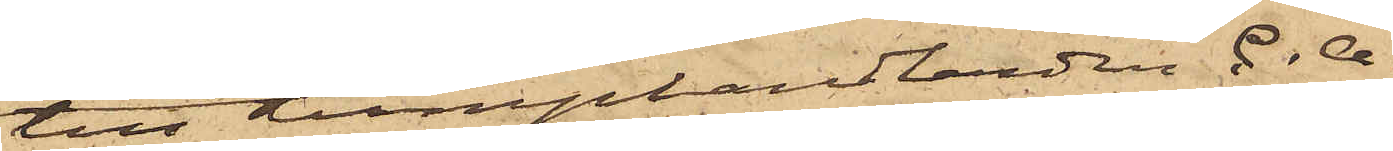till lumphandlanden C. A.
